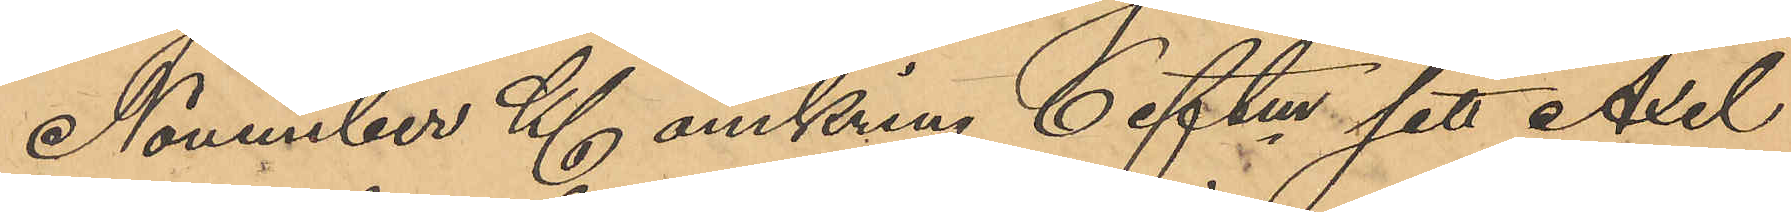November Kl omkring 6 eftm sett Axel
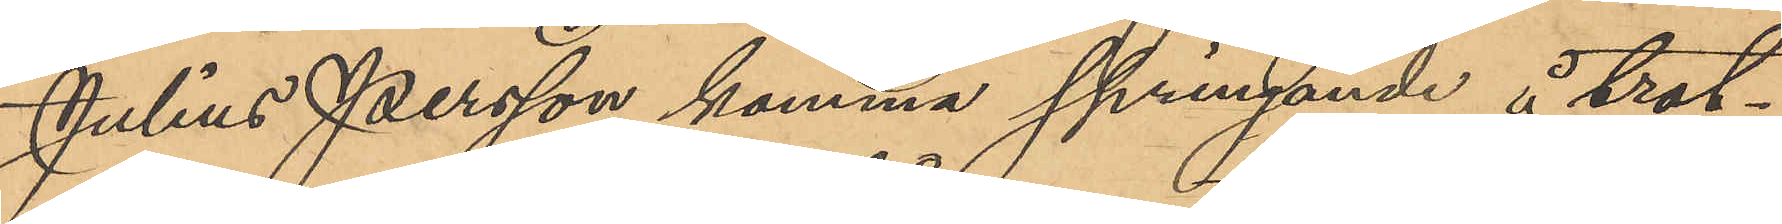Julius Persson komma springande å trot¬
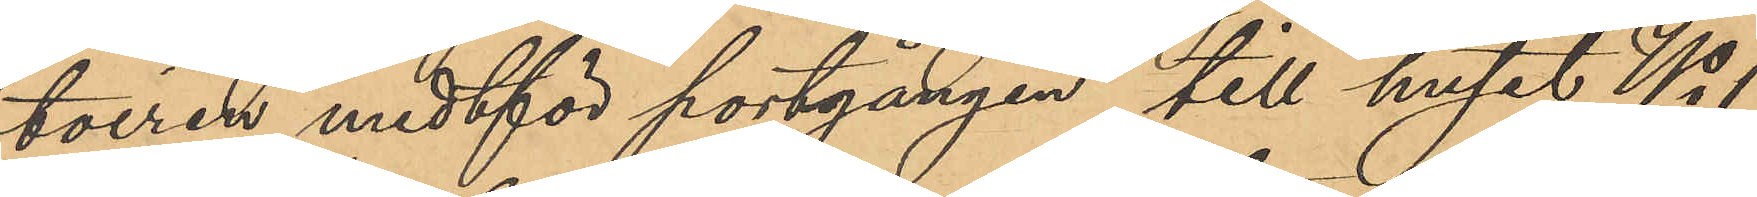toiren midtför portgången till huset No 1
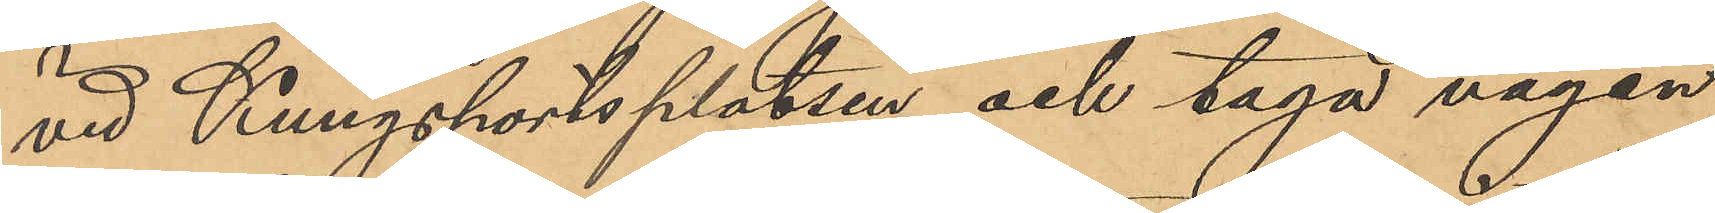vid Kungsportsplatsen och taga vägen
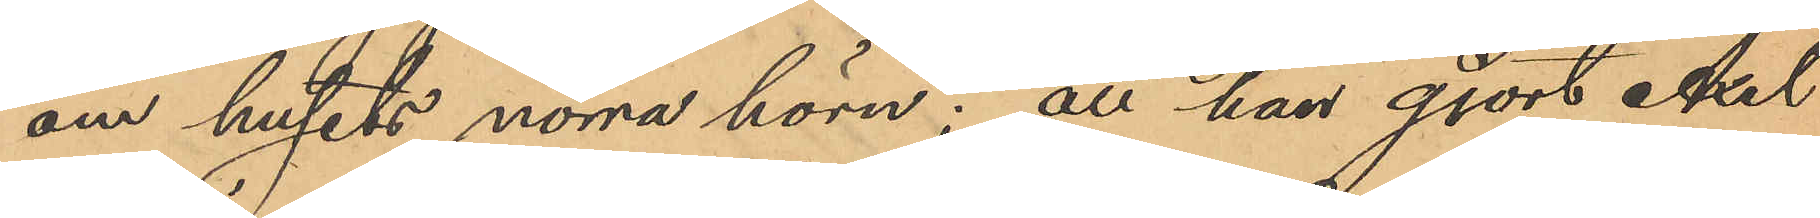om husets norra hörn; att han gjort Axel
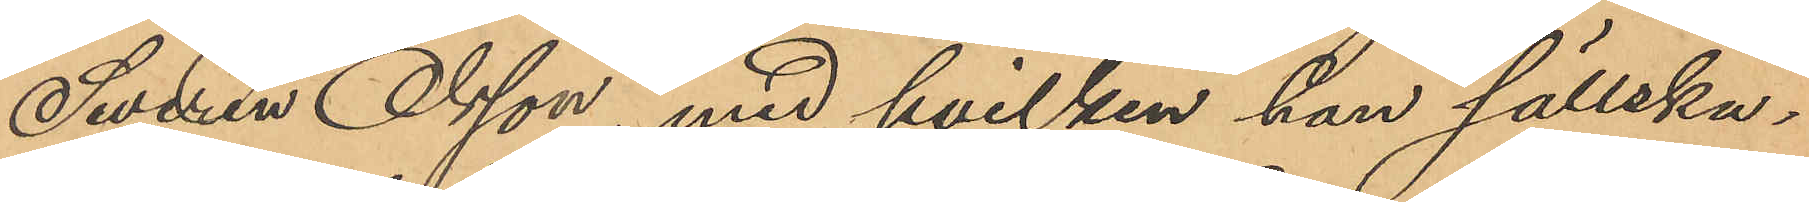Severin Olsson, med hvilken han sällska¬
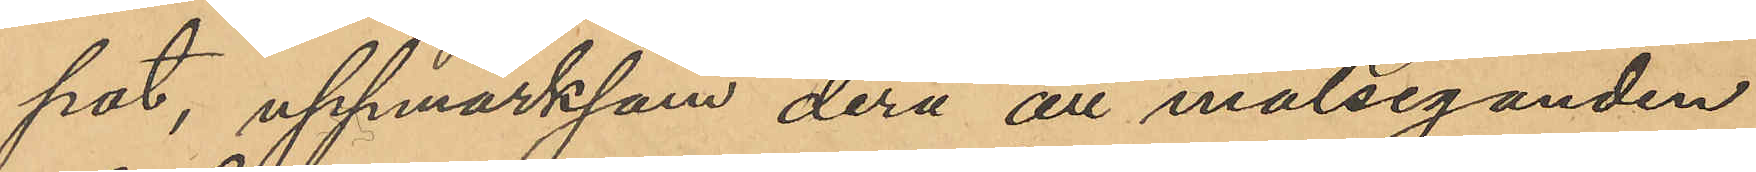pat, uppmärksam derå att målseganden
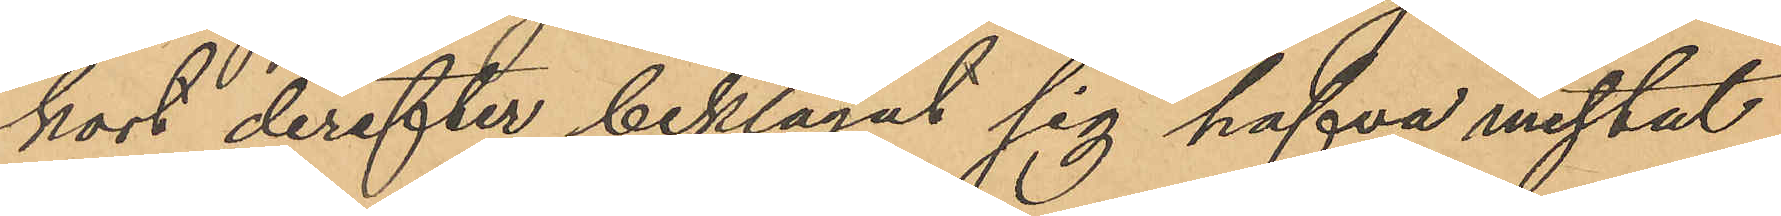kort derefter beklagat sig hafva mistat
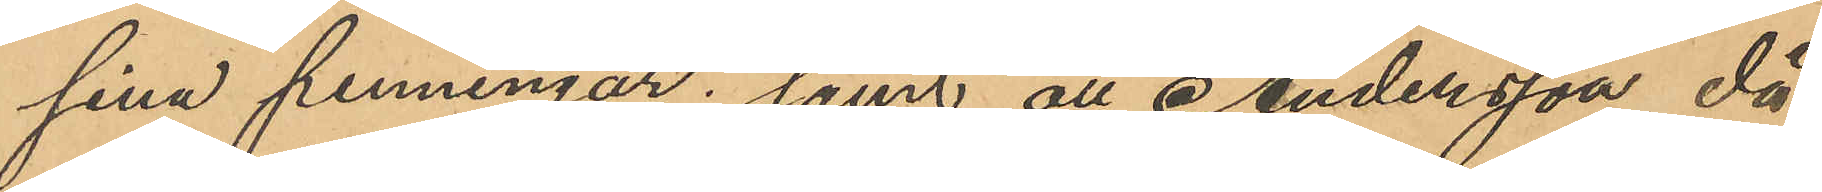sina penningar; samt att Andersson då
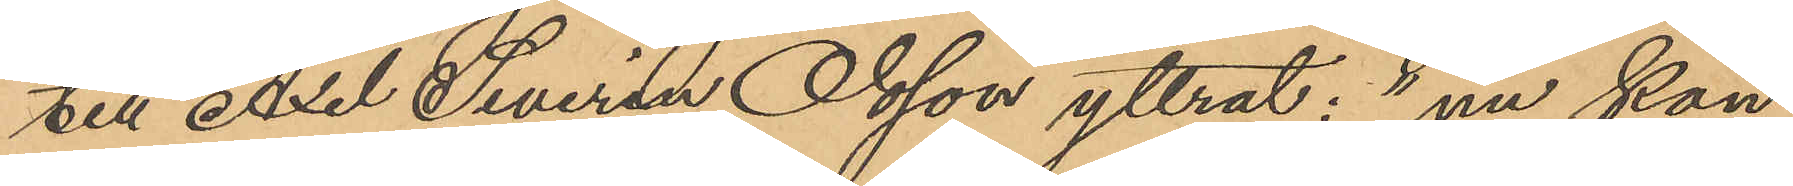till Axel Severin Olsson yttrat: "nu kan
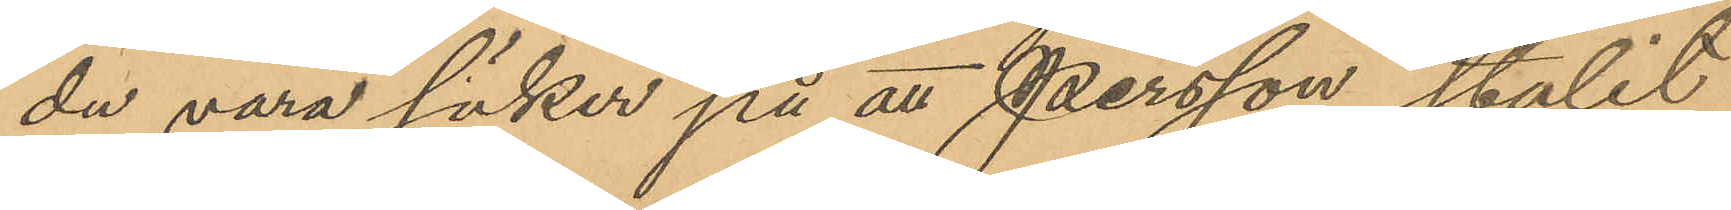du vara säker på att Persson stulit
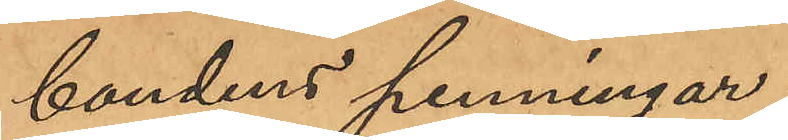bondens penningar;
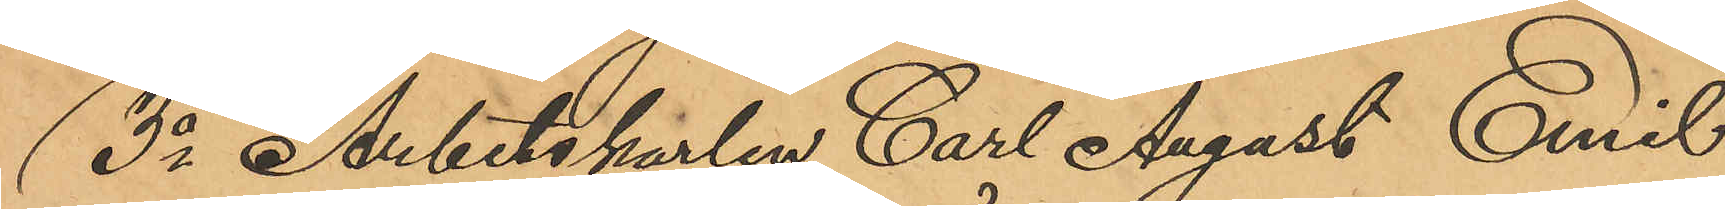3o Arbetskarlen Carl August Emil
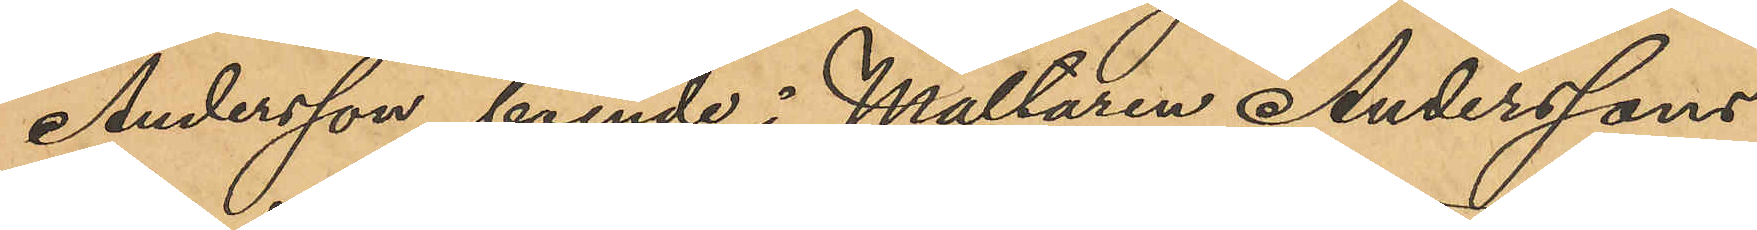Andersson, boende i Mältaren Anderssons
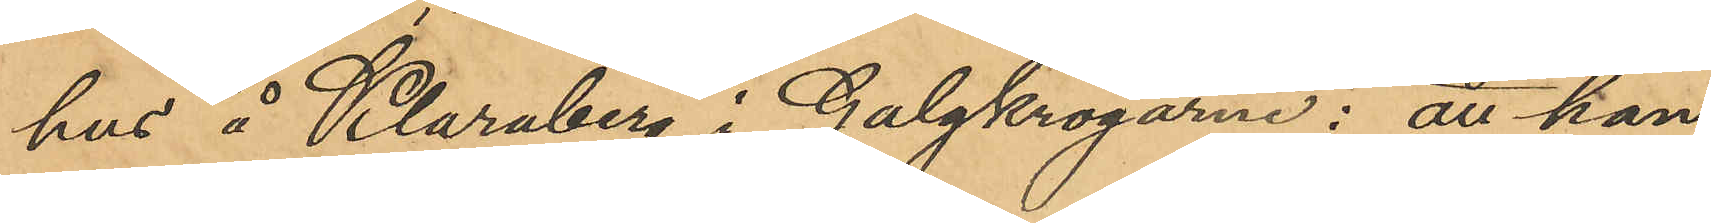hus å Klaraberg i Galgkrogarne: att han
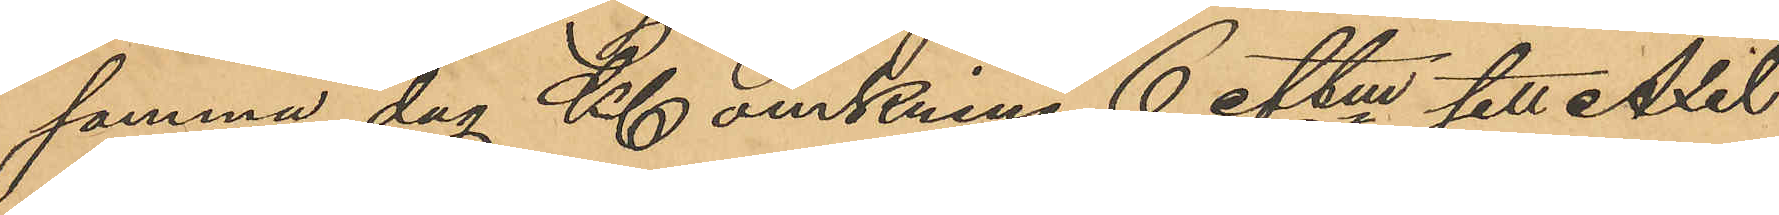samma dag Kl omkring 6 eftm sett Axel
